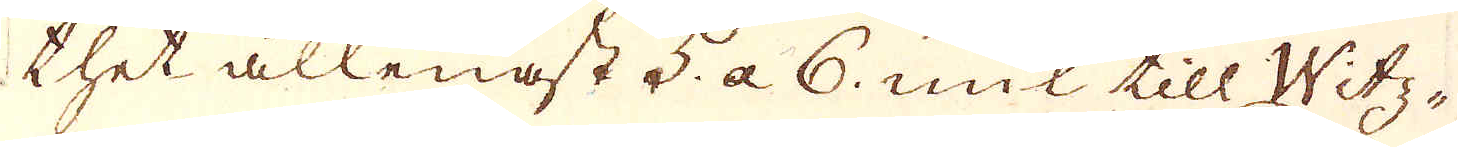thet allenast 5. a 6. mil till Witz-
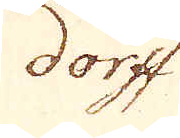dorff
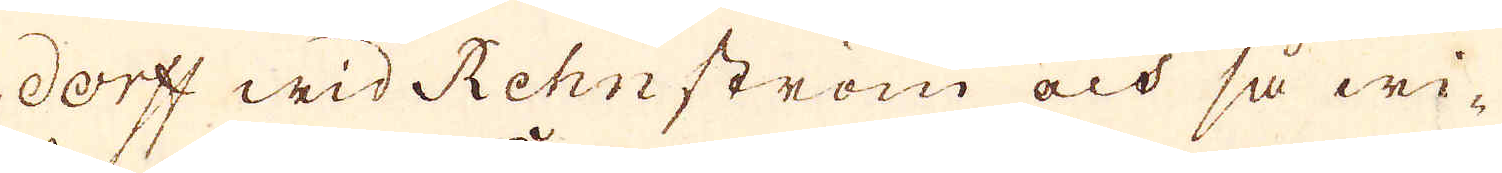dorff wid Rehn ström och så wi-
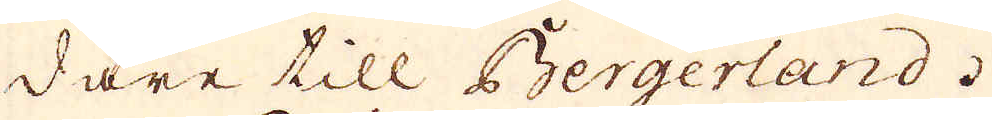dare till Bergerland.
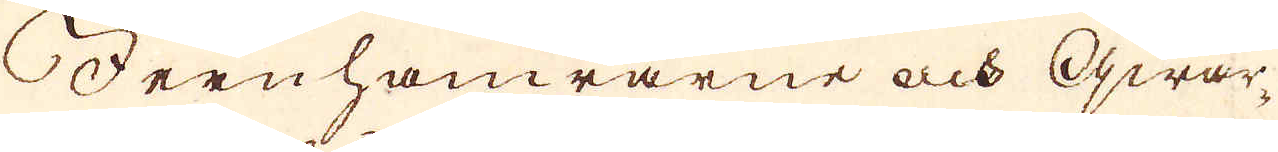Jern hamrarne och qwar-
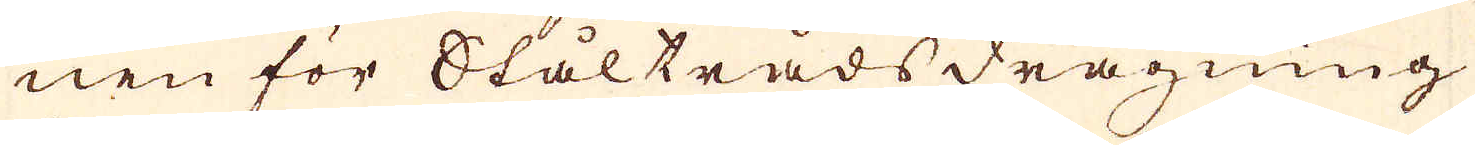nen för Ståltrådsdragning
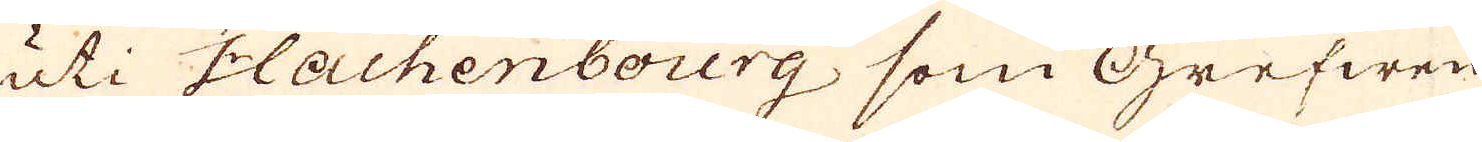uti Hachenbourg som Grefwen
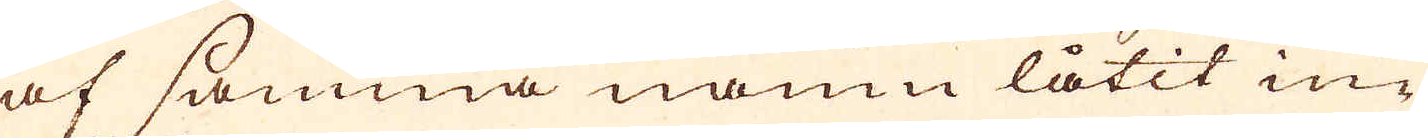af samma namn låtit in-
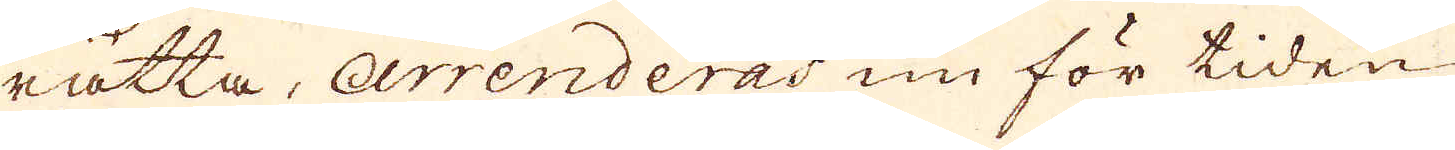rätta, arrenderas nu för tiden
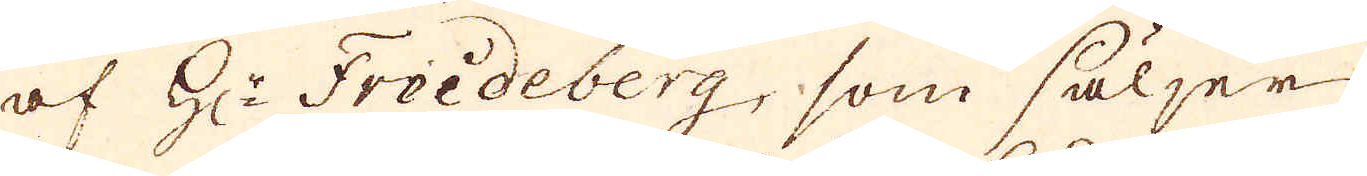af H:r Freideberg, som säljer
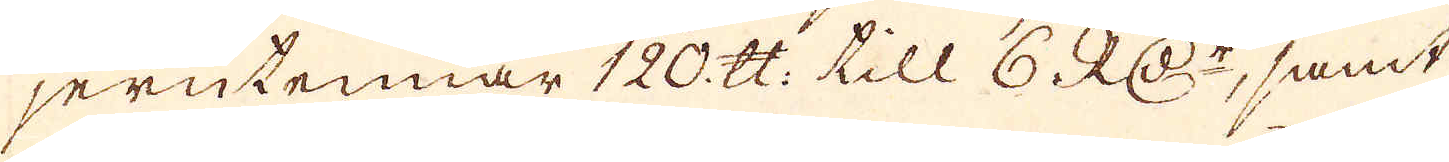jerntennar 120 skålpund till 6 RD:r, samt
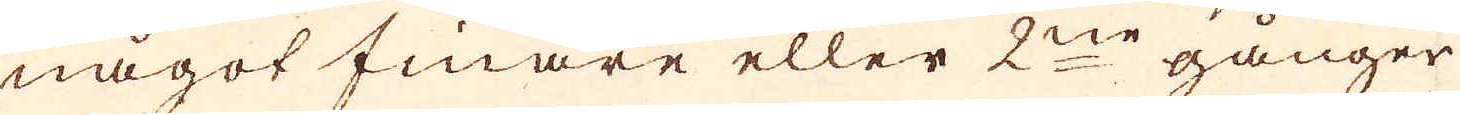något finare eller 2ne gånger
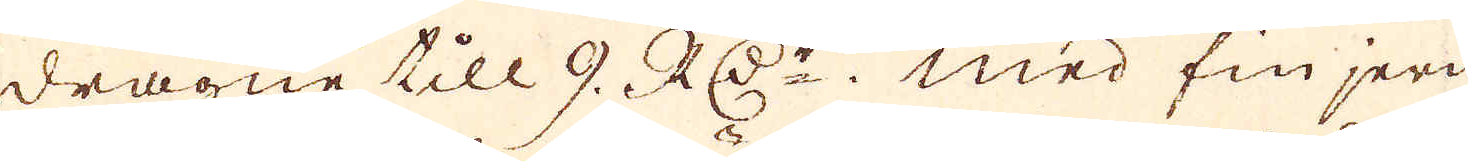dragne till 9. RD:r. med fin jern
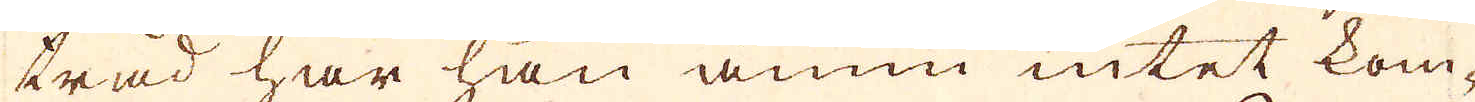tråd har han ännu intet kom-
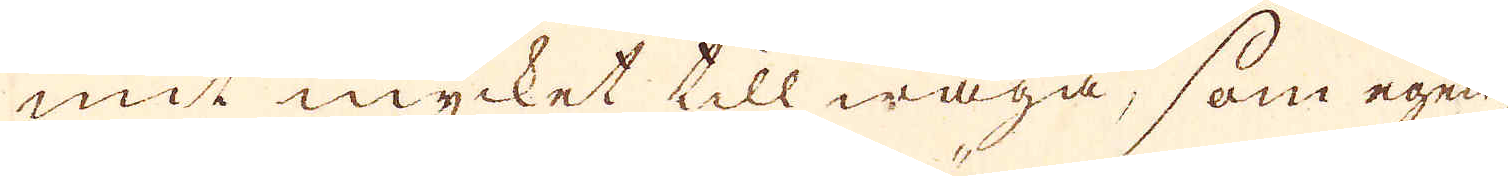mit mycket till wäga, som egen-
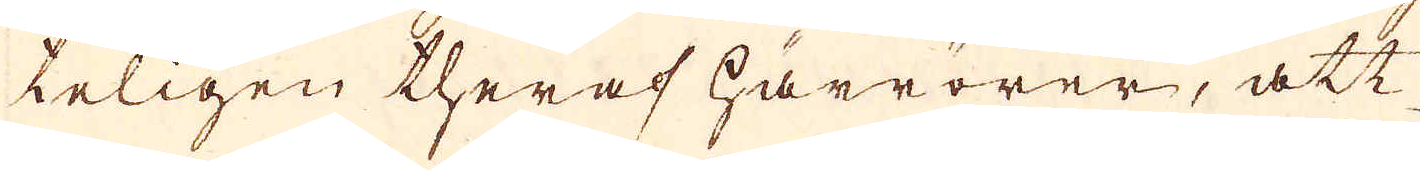teligen theraf härrörer, att
